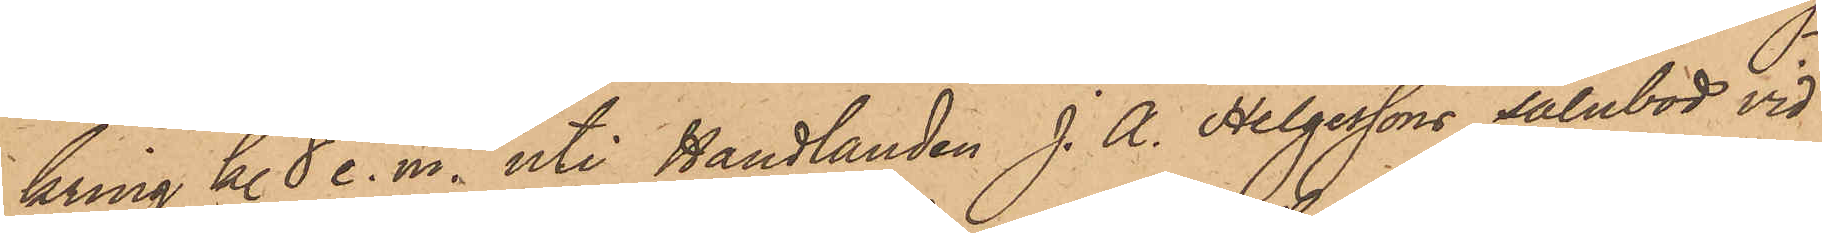kring kl 8 e. m. uti Handlanden J. A. Helgessons salubod vid
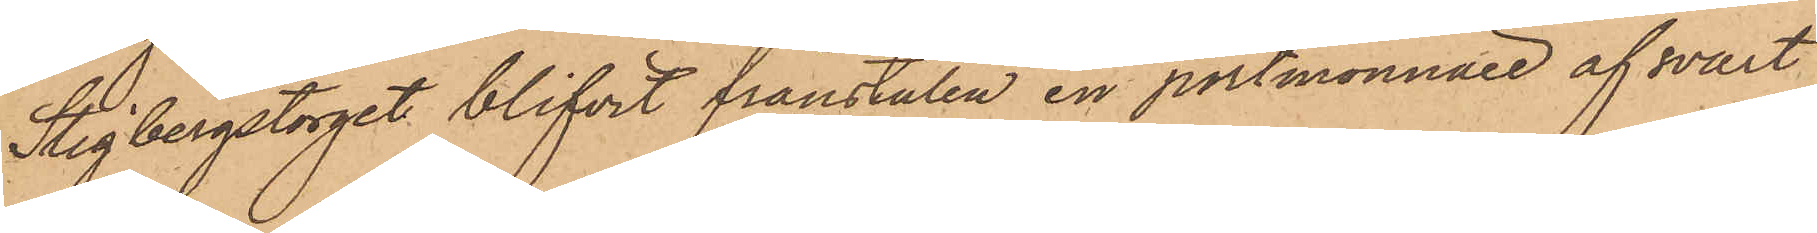Stigbergstorget blifvit frånstulen en portmonnaie af svart
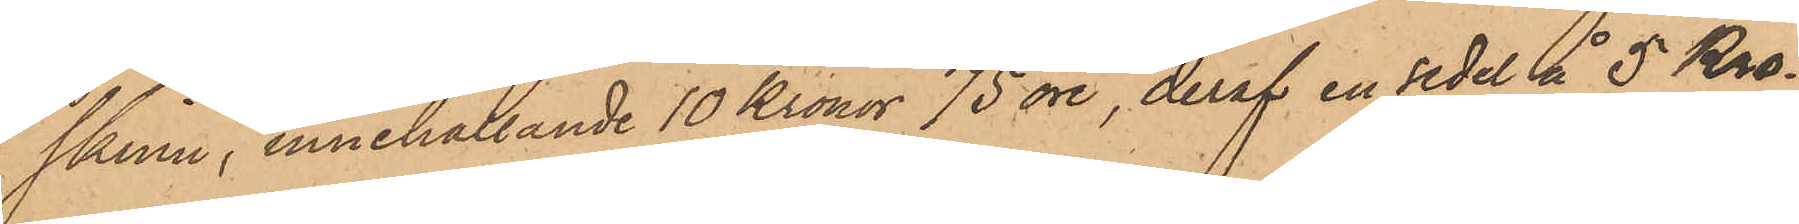skinn, innehållande 10 Kronor 75 öre, deraf en sedel å 5 Kro¬
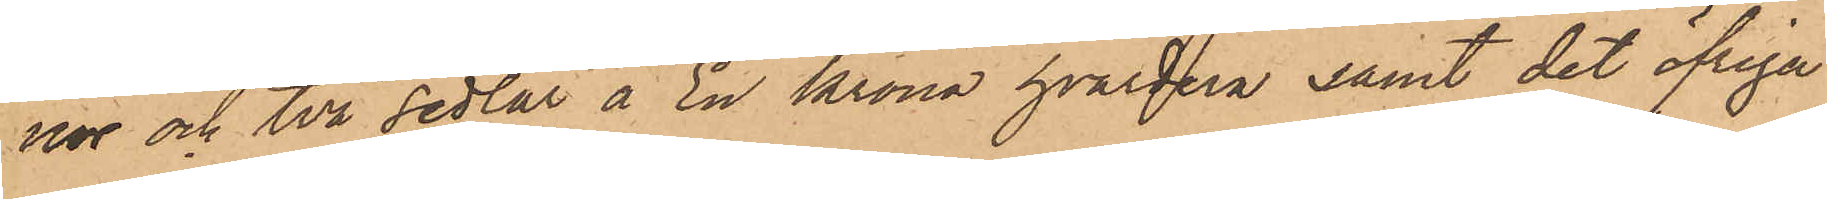nor och två sedlar å En Krona hvardera samt det öfriga
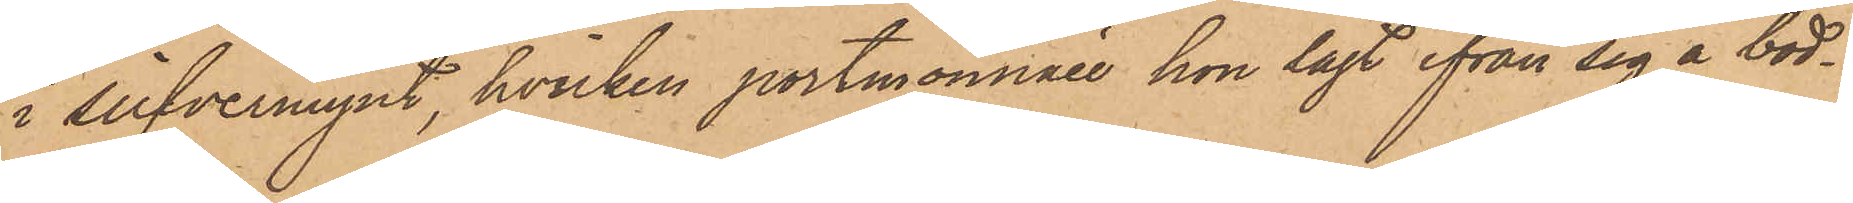i silfvermynt, hvilken portmonnaie hon lagt ifrån sig å bod¬
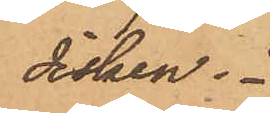disken.
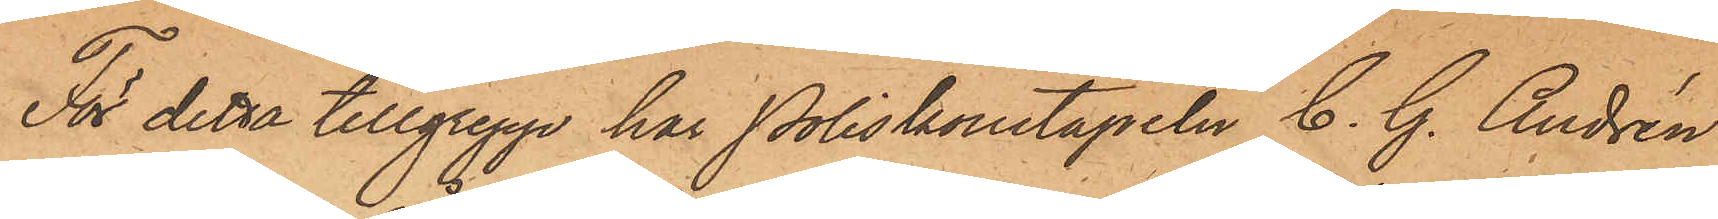För detta tillgrepp har Poliskonstapeln C. G. Andrén
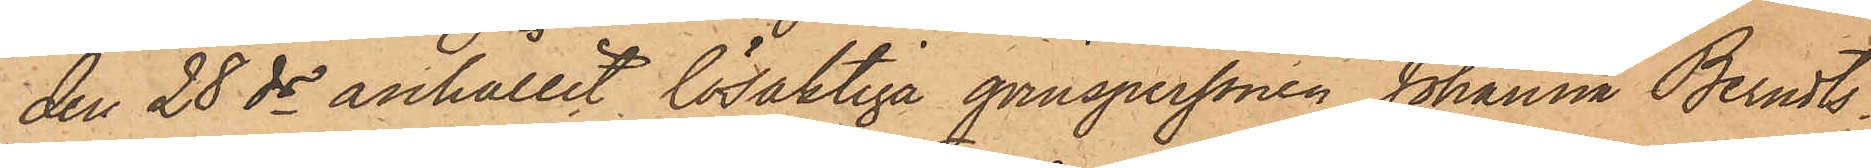den 28 ds anhållit lösaktiga qvinspersonen Johanna Berndts¬
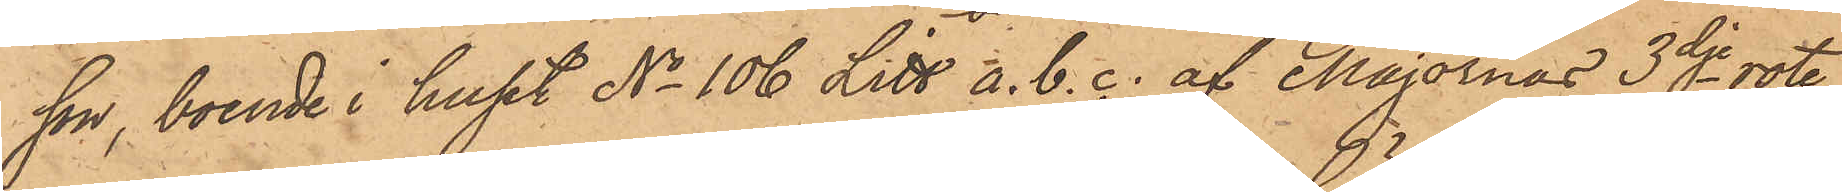son, boende i huset No 106 Litt a,b,c. af Majornas 3dje rote,
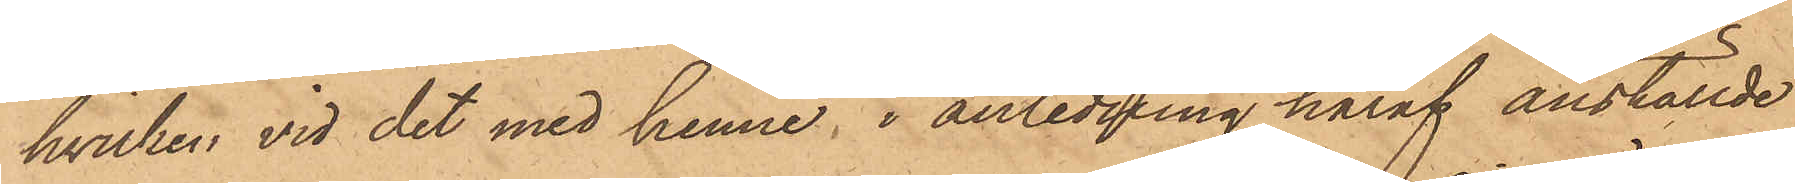hvilken vid det med henne, i anledning häraf anställde
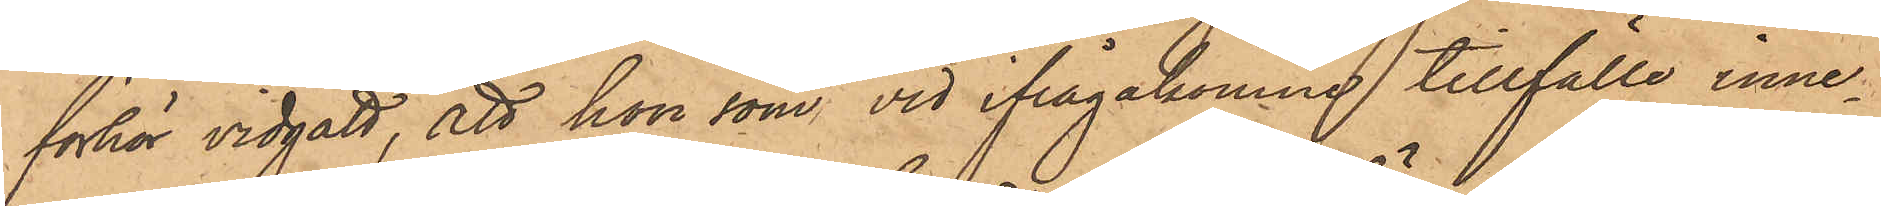förhör vidgått, att hon som vid ifrågakomne tillfälle inne¬
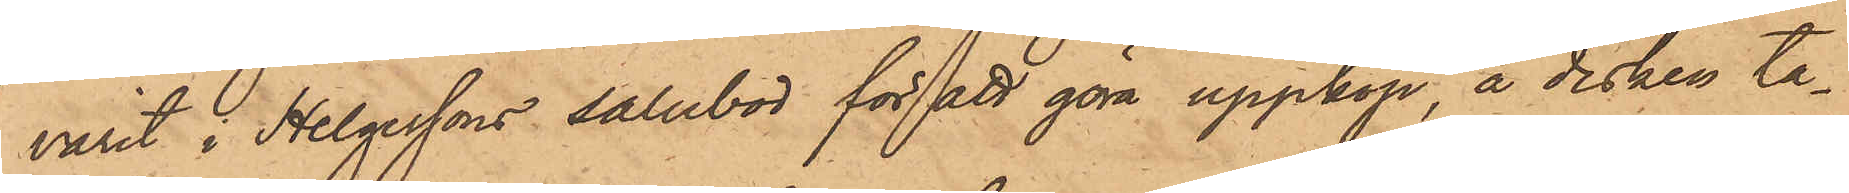varit i Helgessons salubod för att göra uppköp, å disken ta¬
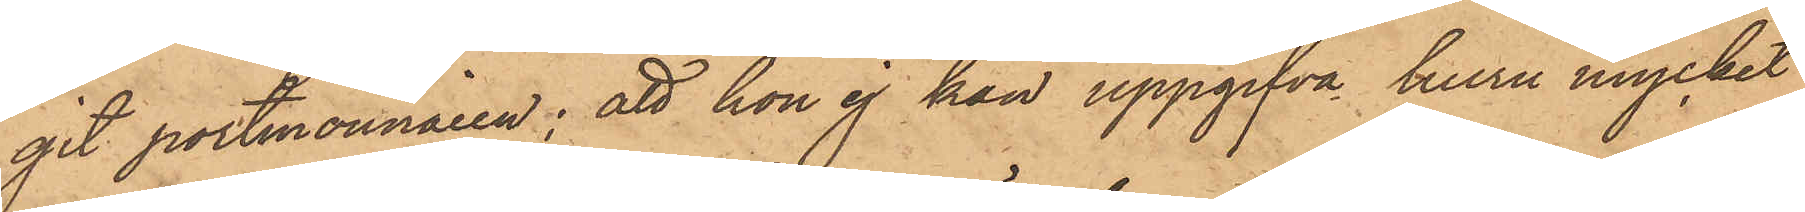git portmonnaien; att hon ej kan uppgifva huru mycket
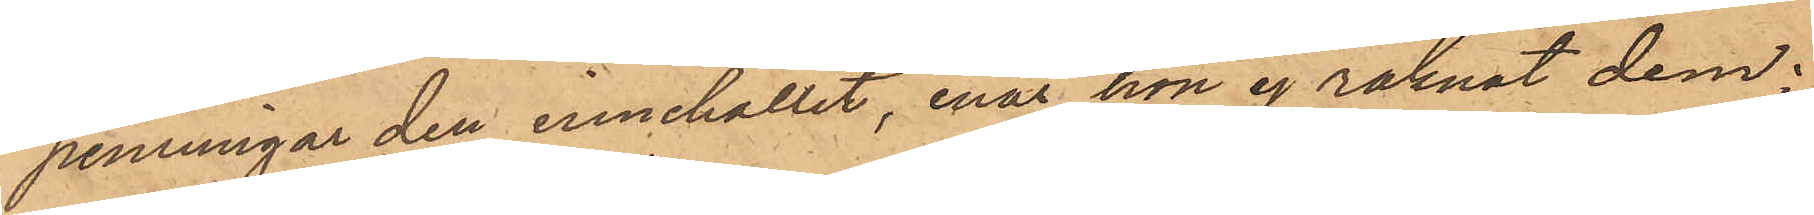penningar den innehållit, enär hon ej räknat dem.
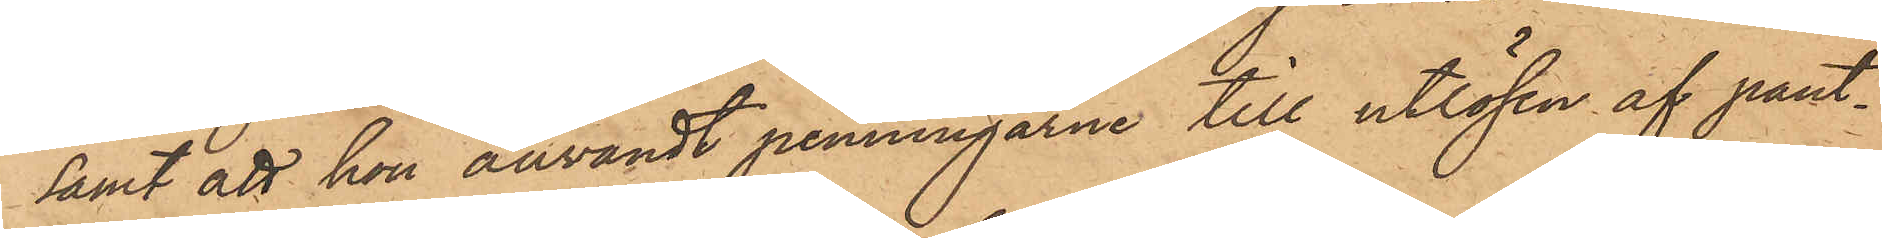samt att hon användt penningarne till utlösen af pant¬
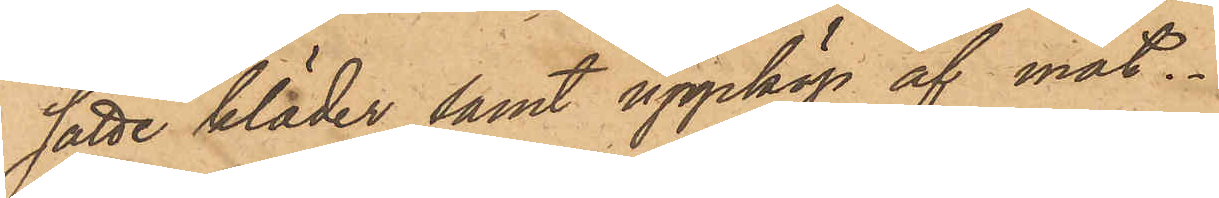satte kläder samt uppköp af mat.
